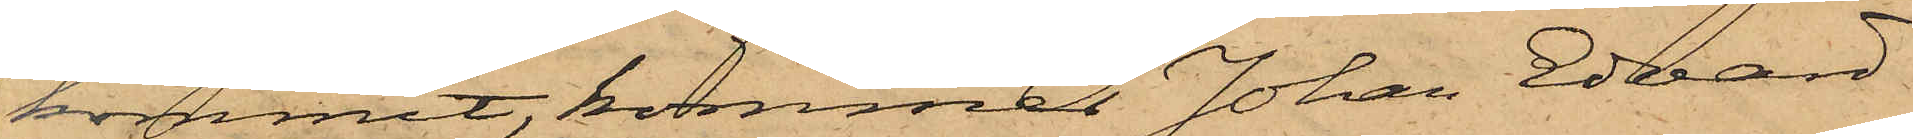kommit, kommer Johan Edvard
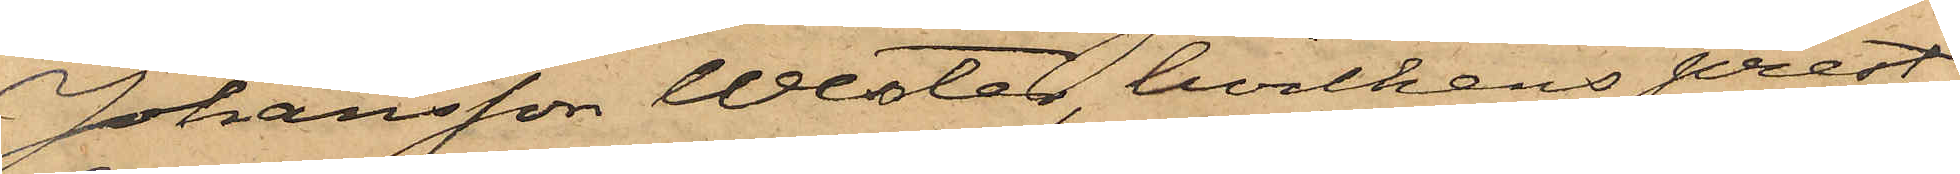Johansson Wester, hvilkens prest¬
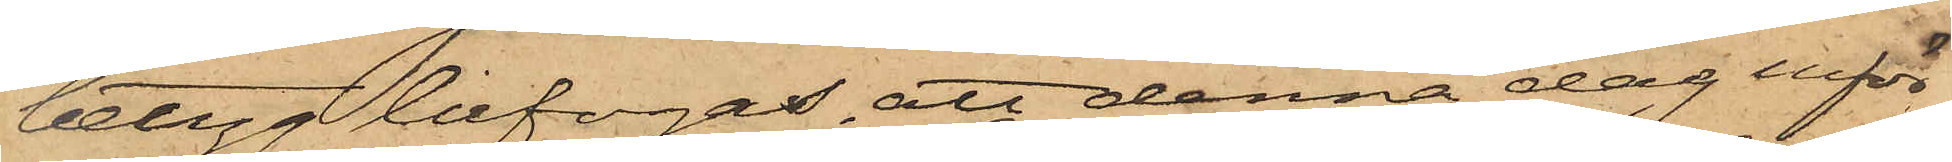betyg bifogas, att denna dag inför
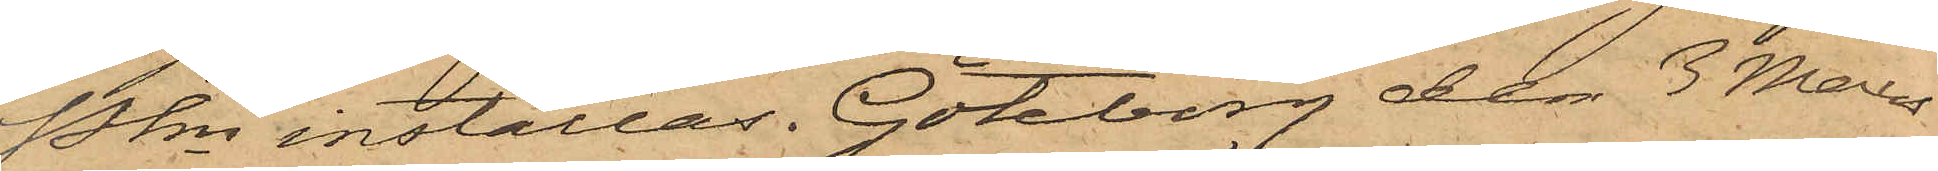Pkn inställas. Göteborg den 3 Mars
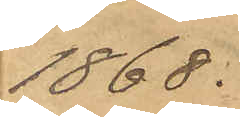1868.
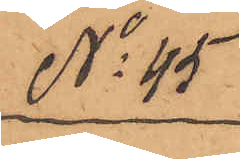No 45
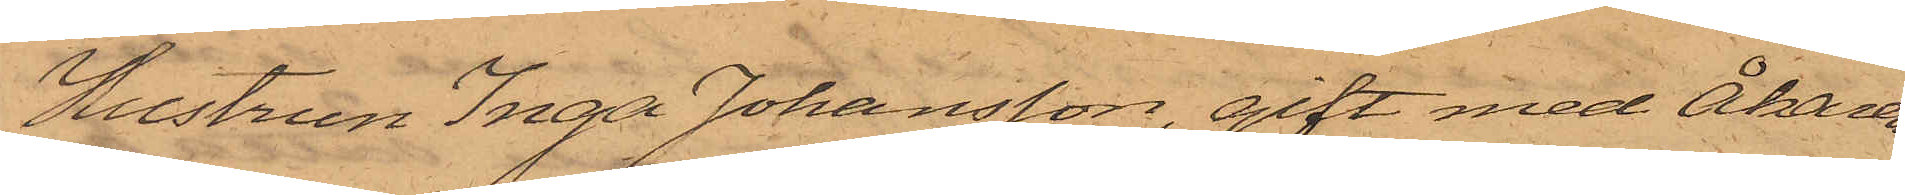Hustrun Inga Johansson, gift med Åkaren
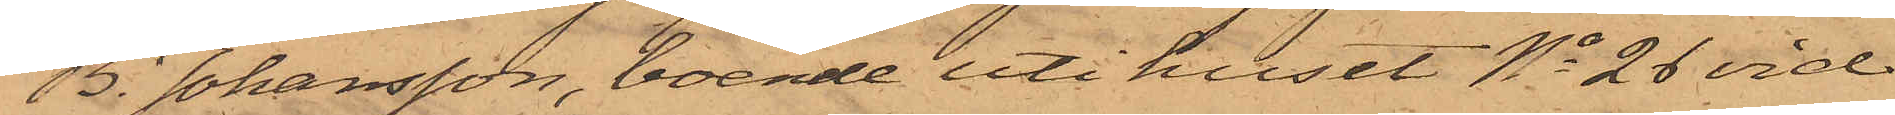B. Johansson, boende uti huset No 26 vid
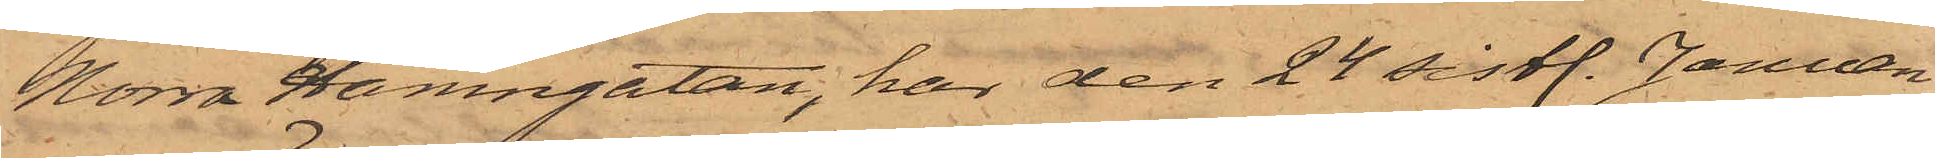Norra Hamngatan, har den 24 sistl. Januari
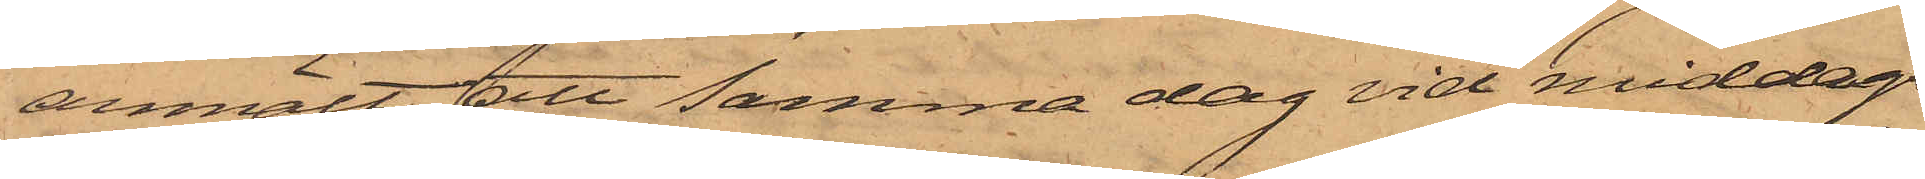anmält att samma dag vid middags¬
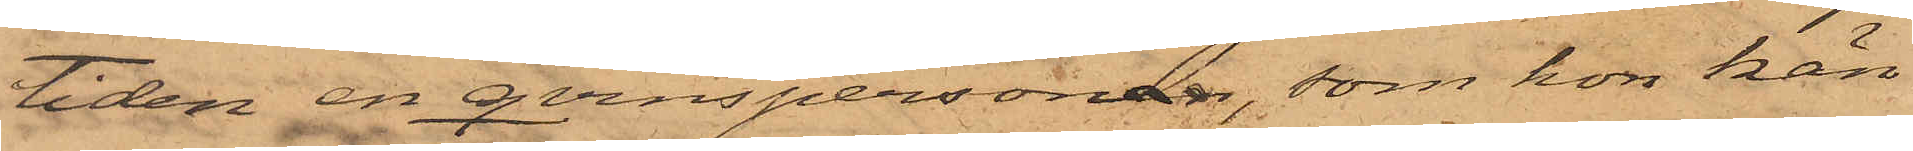tiden en qvinspersonen, som hon kän¬
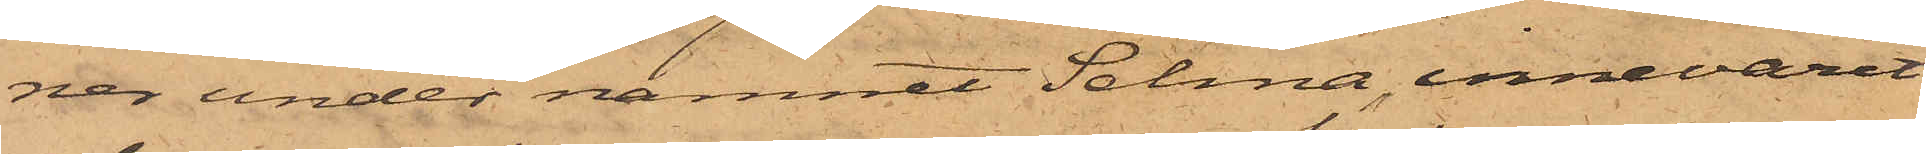ner under namnet Selma, innevarit
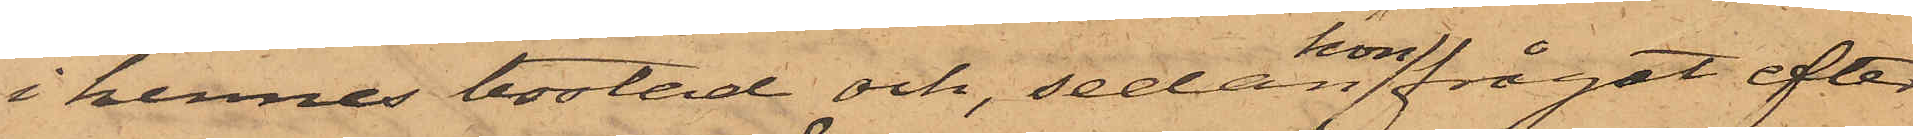i hennes bostad, och, sedan hon frågat efter
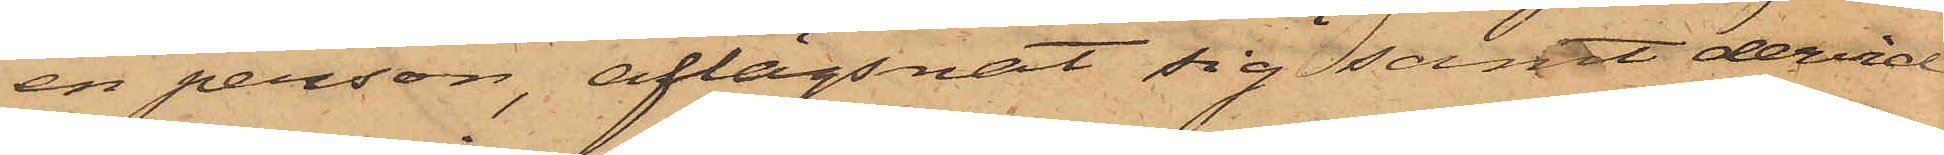en person, aflägsnat sig samt dervid
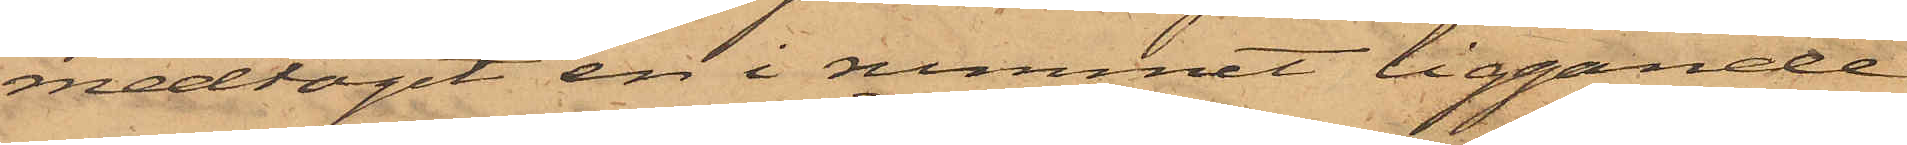medtagit en i rummet liggande
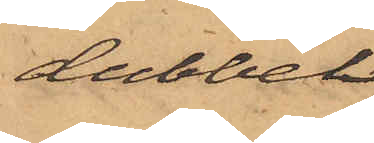dubbel¬
